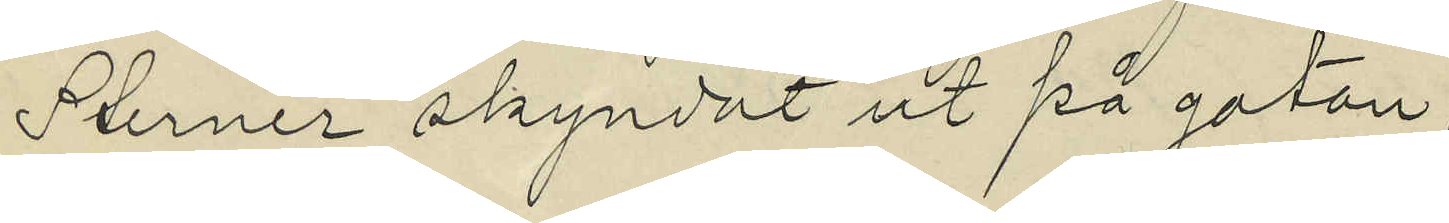Sterner skyndat ut på gatan;
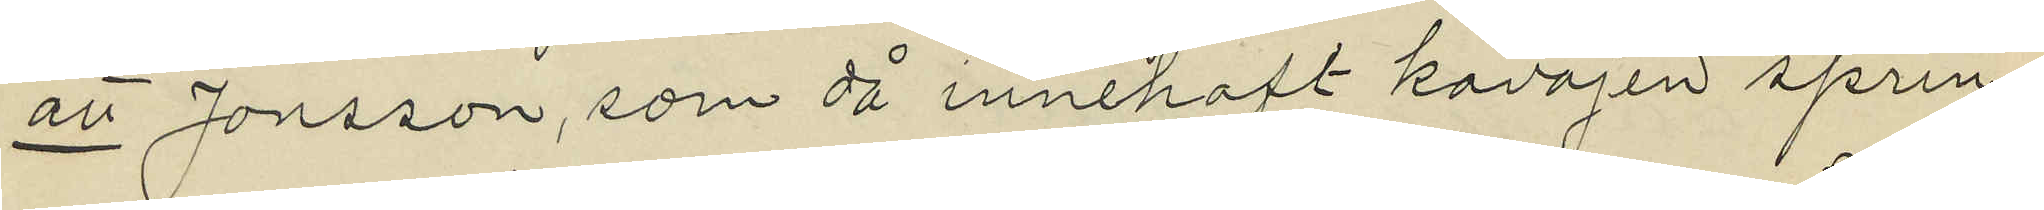att Jonsson, som då innehaft kavajen sprin¬
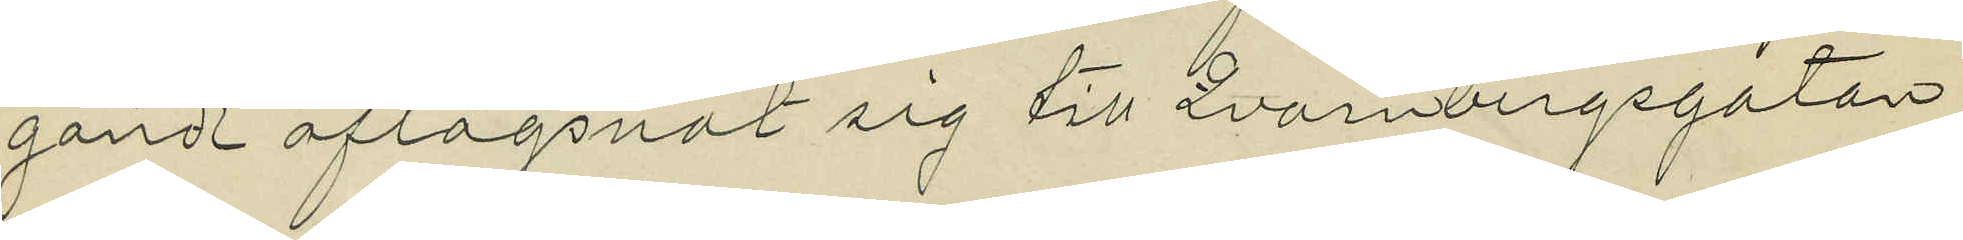gande aflägsnat sig till Qvarnbergsgatan
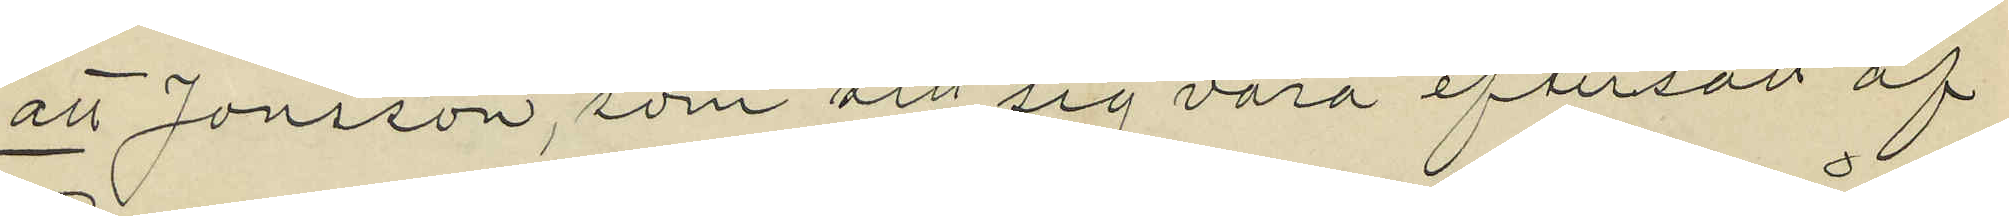att Jonsson, som sett sig vara eftersatt af
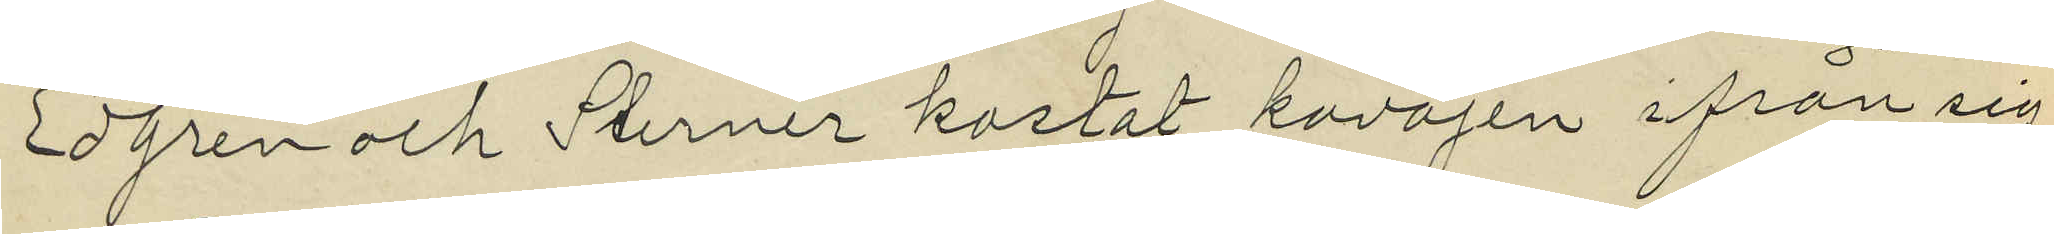Egren och Sterner kastat kavajen ifrån sig
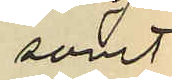samt
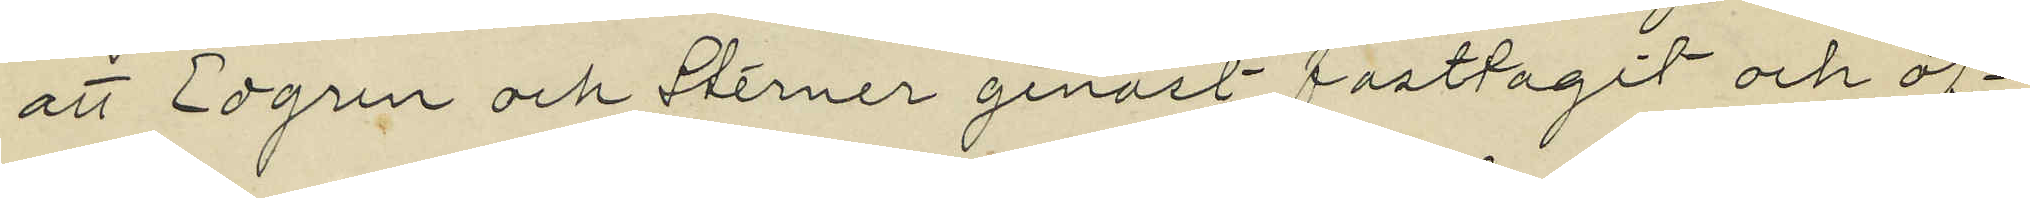att Edgren och Sterner genast fasttagit och öf¬
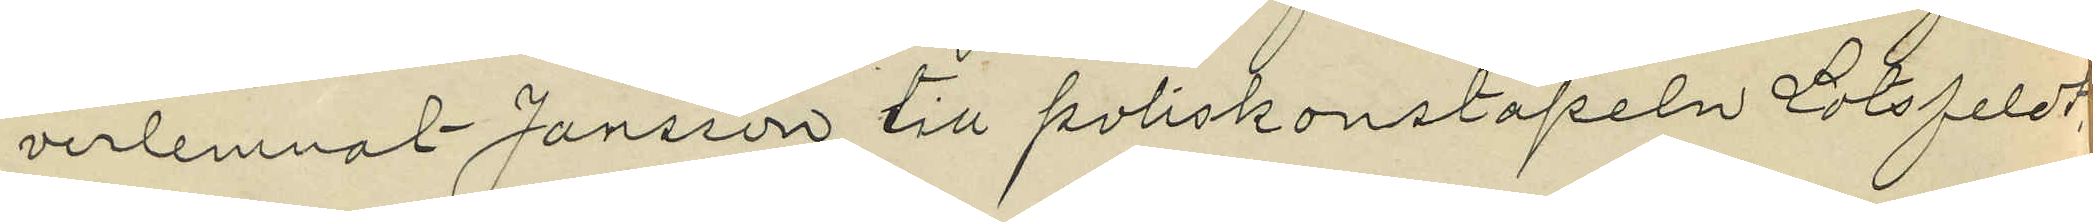verlemnat Jonsson till poliskonstapeln Lotsfeldt.
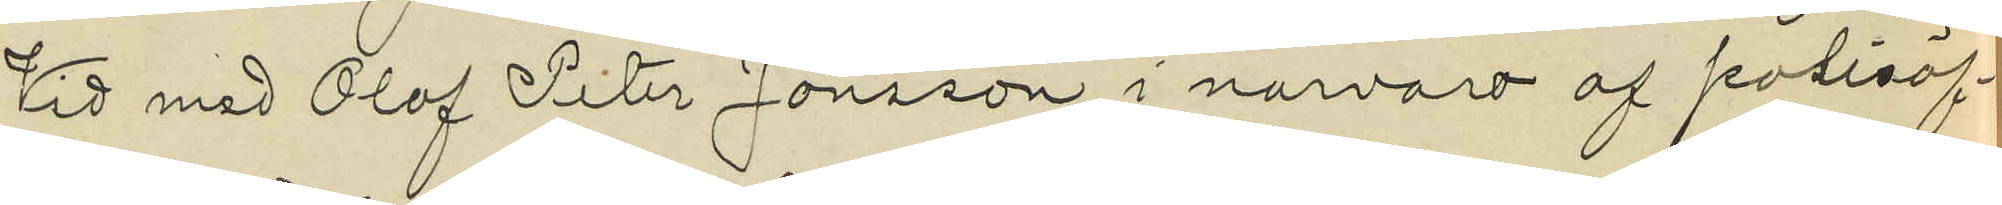Vid med Olof Peter Jonsson, i närvaro af polisöf¬
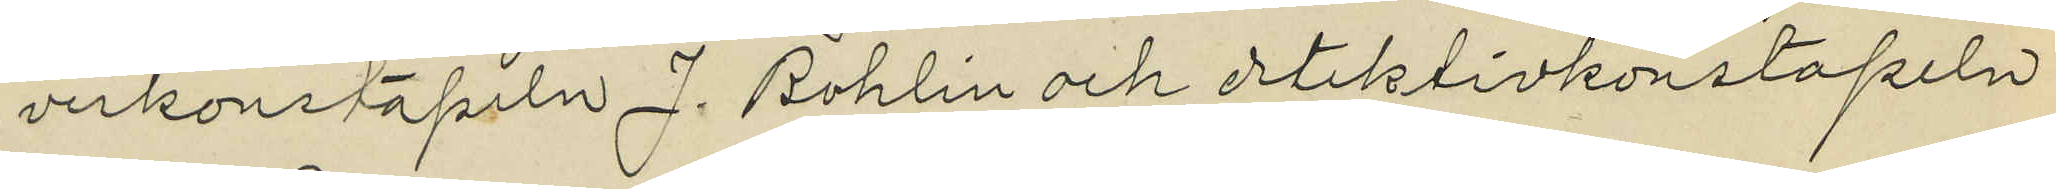verkonstapeln J. Bohlin och detektivkonstapeln
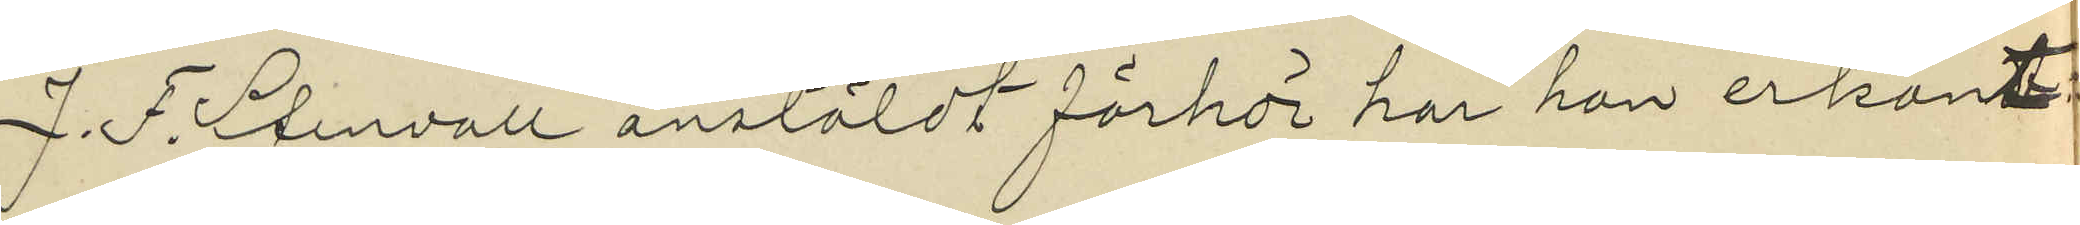J. P. Stenvall anstäldt förhör har han erkänt:
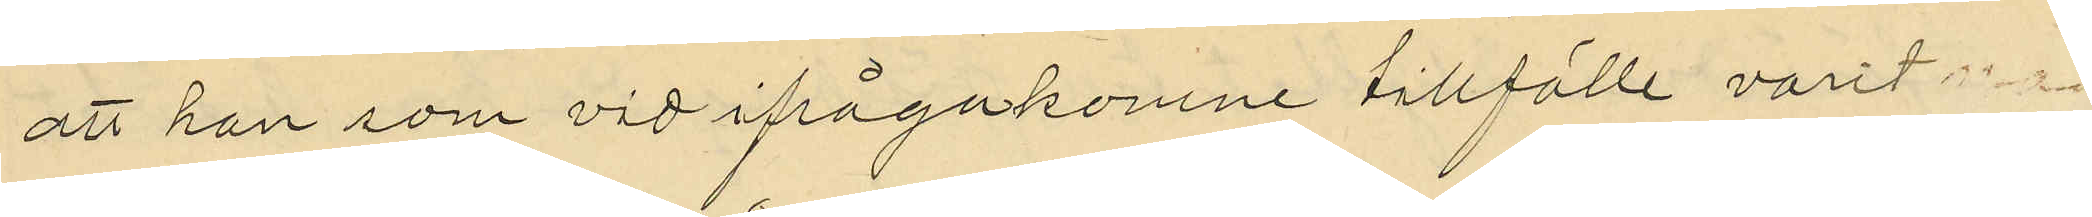att han som vid ifrågakomne tillfälle varit
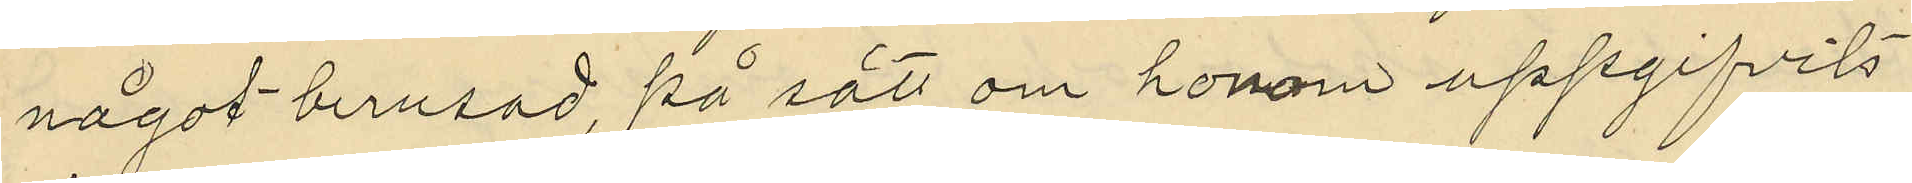något berusad, på sätt om honom uppgifvits
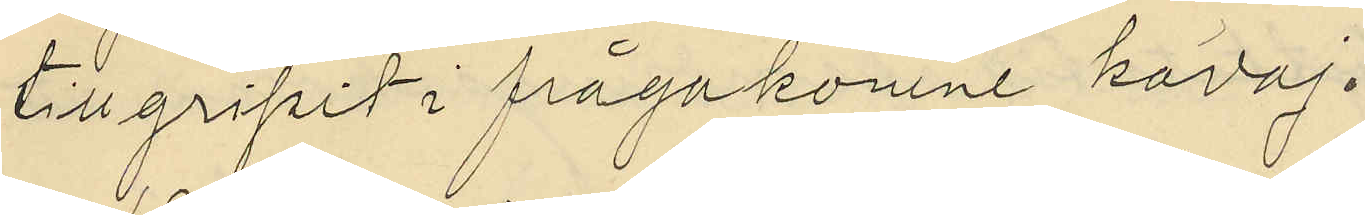tillgripit ifrågakomne kavaj.
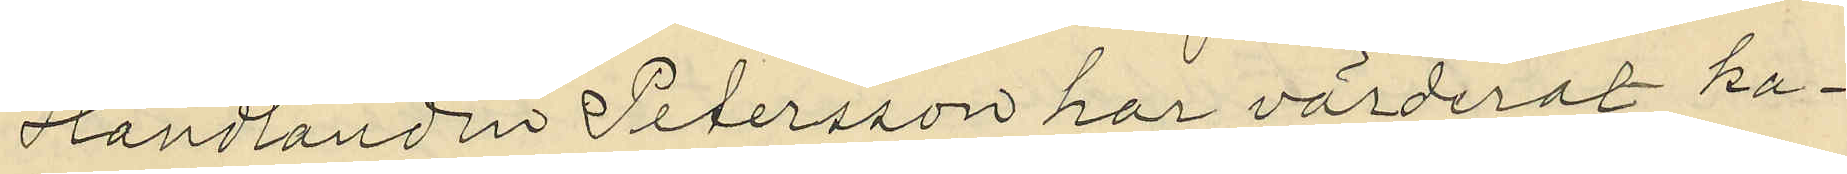Handlanden Petersson har värderat ka¬
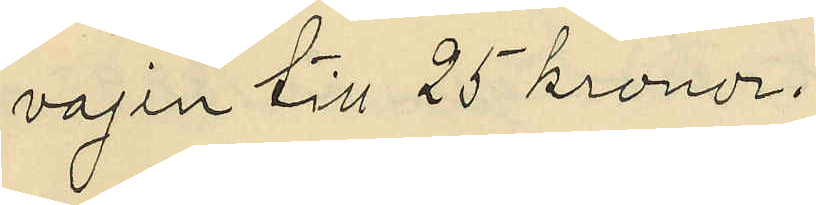vajen till 25 kronor.
